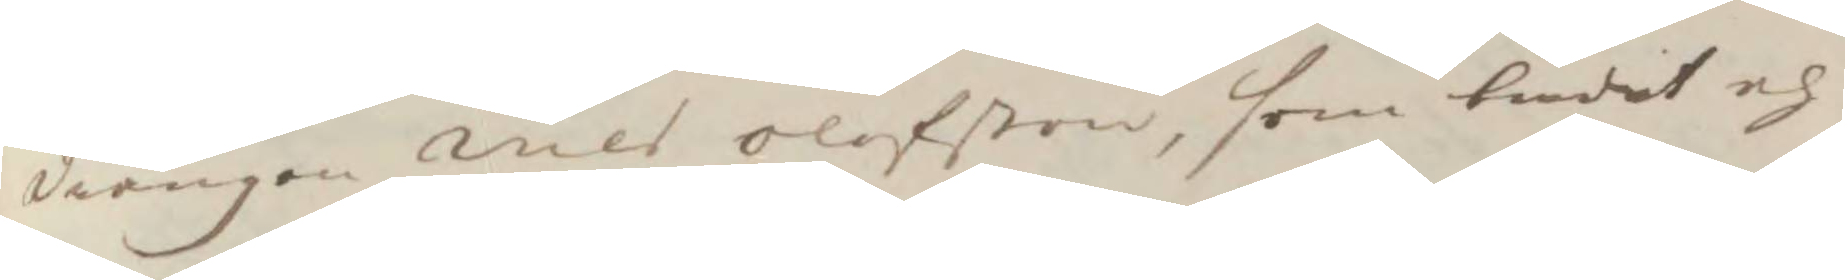drängen Nils Olofßon, som budit och
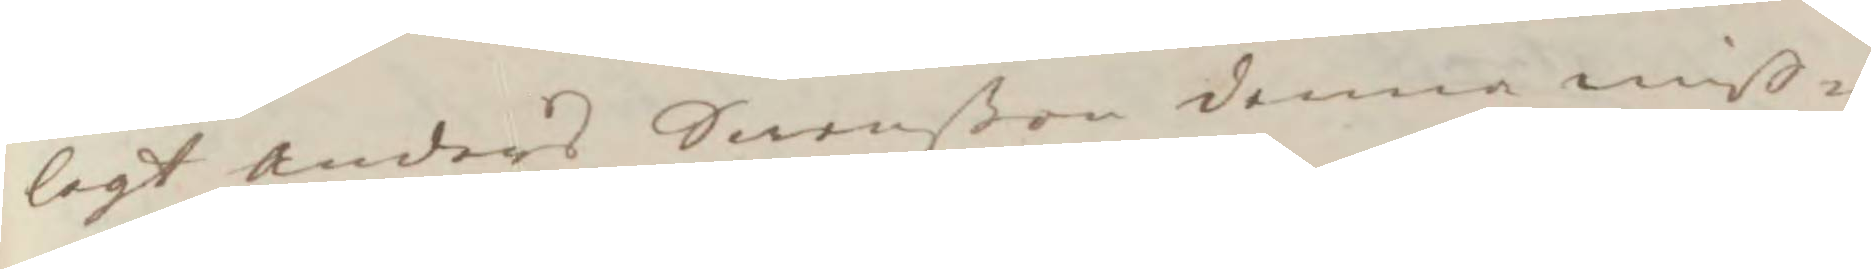lagt Anders Swenßon denna miß¬
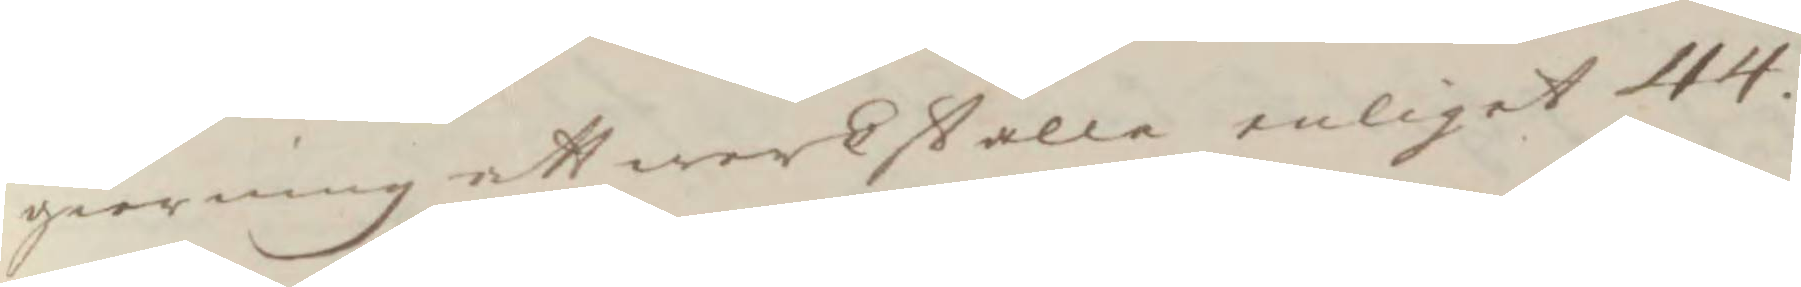gierning att wärkställa enliget 44.
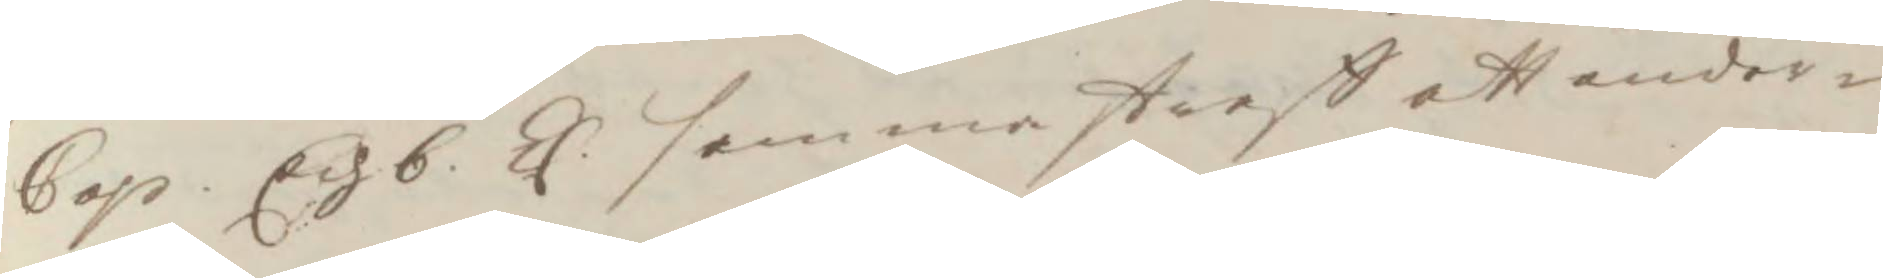Cap Ech b. Ll. samma straff att under¬ 
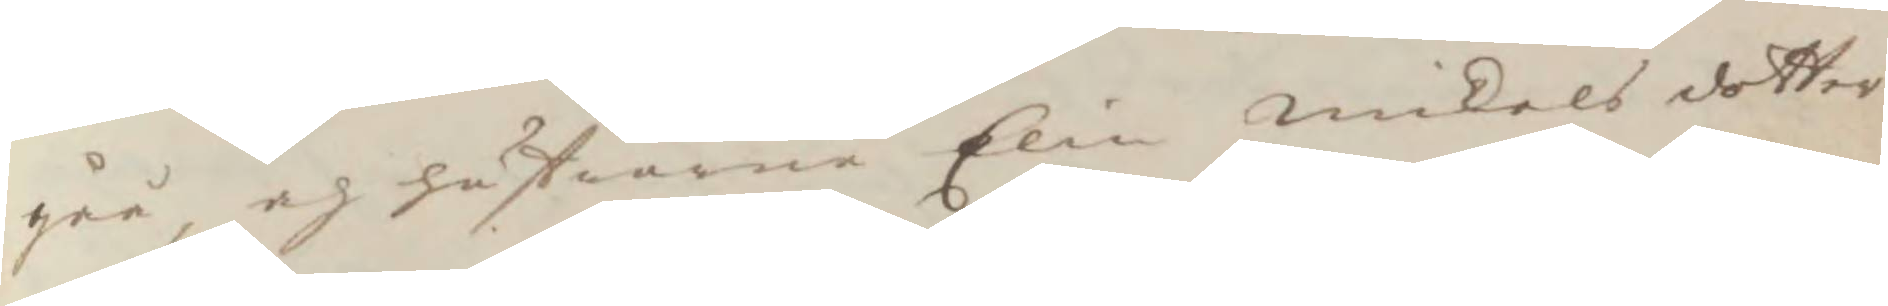gåå, och hustrurne Elin mikels dotter
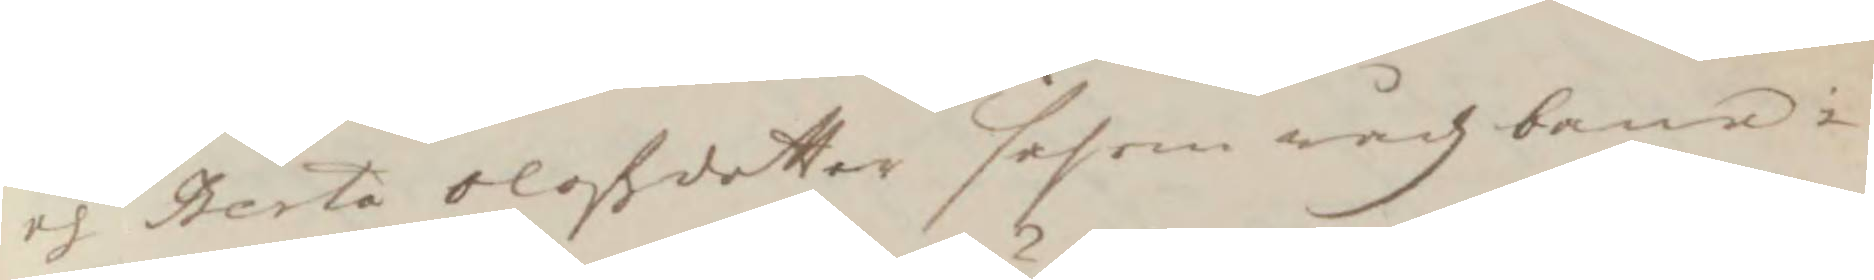och Berta Olofdotter såsom rådz bane i
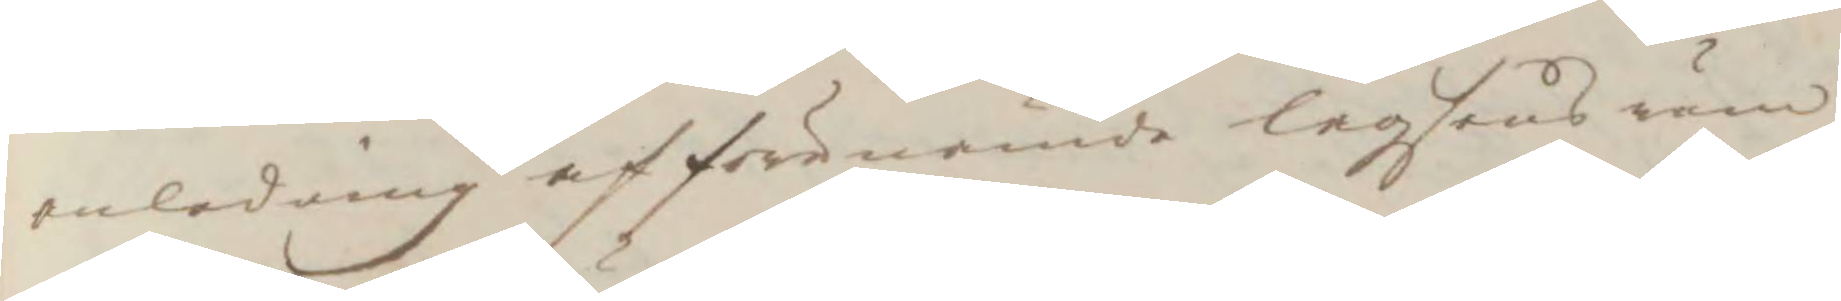anledning af förenämde lagsens rum
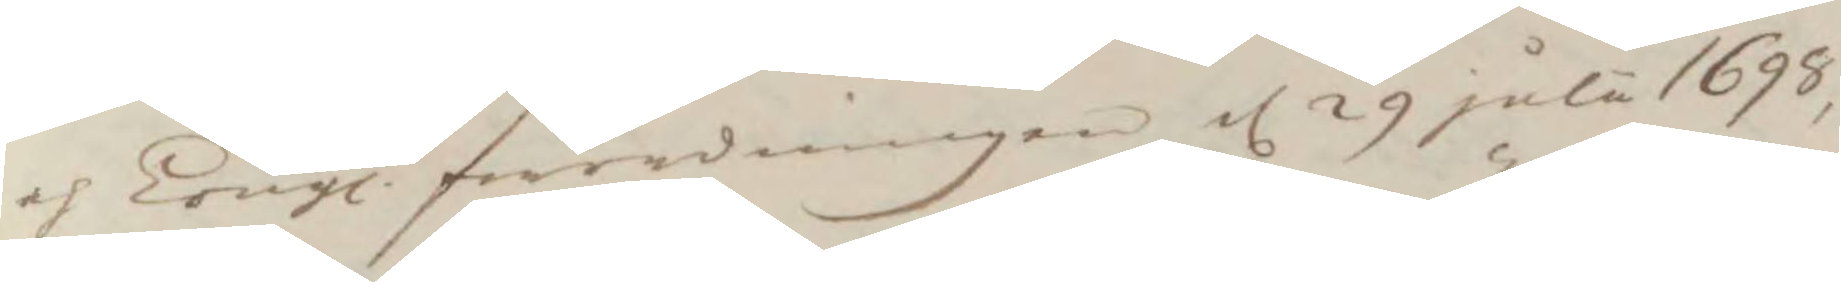och Kongl. förordningen d 29 jula 1698, 
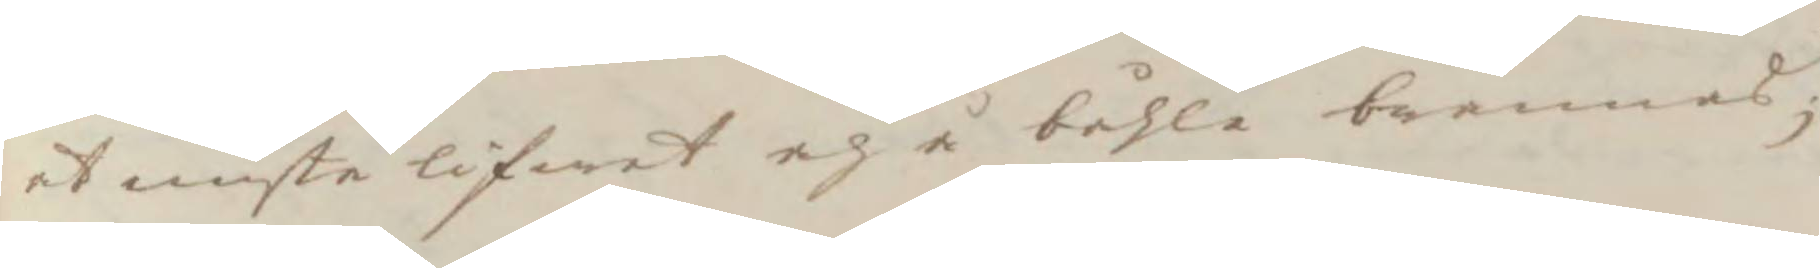at miste lifwet och å båhle brännas;
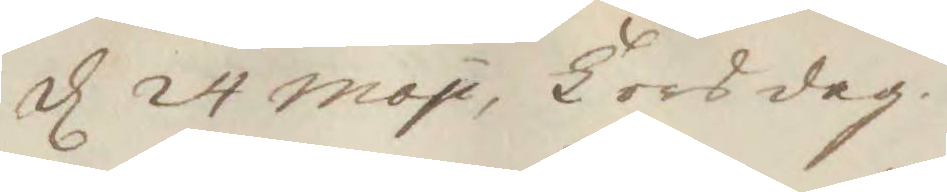d 24 maji, Torsdag. 
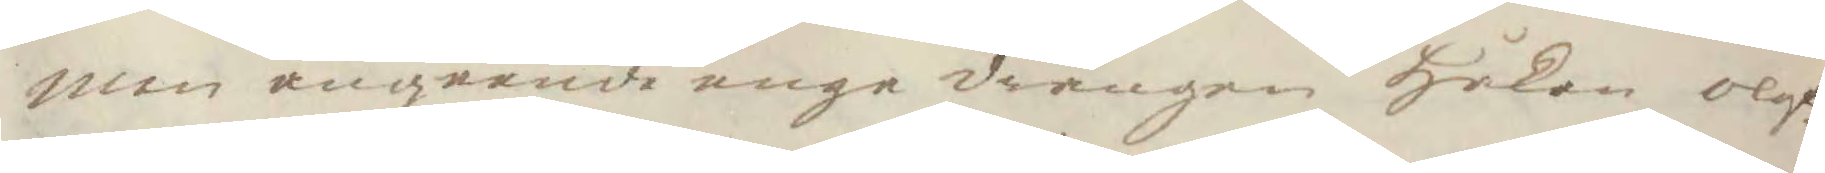men angående unge drängen Håkan olof¬
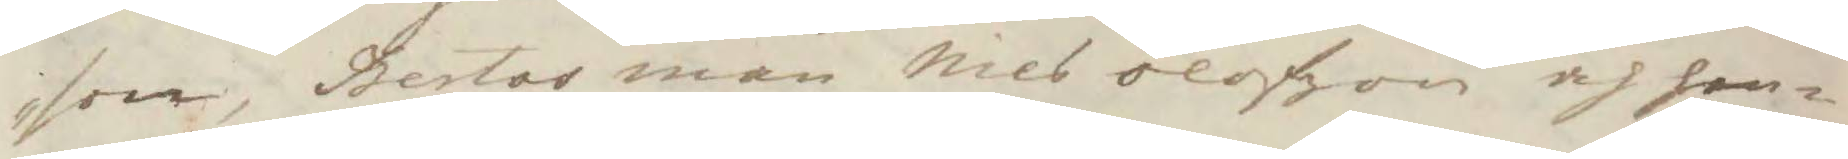son, Bertas man Nils olofzon och hen¬
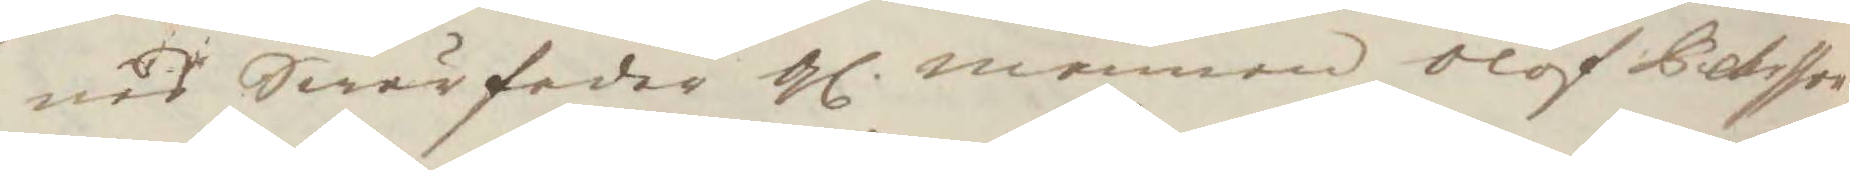nes Swärfader gl mennen Olof Pehsson 
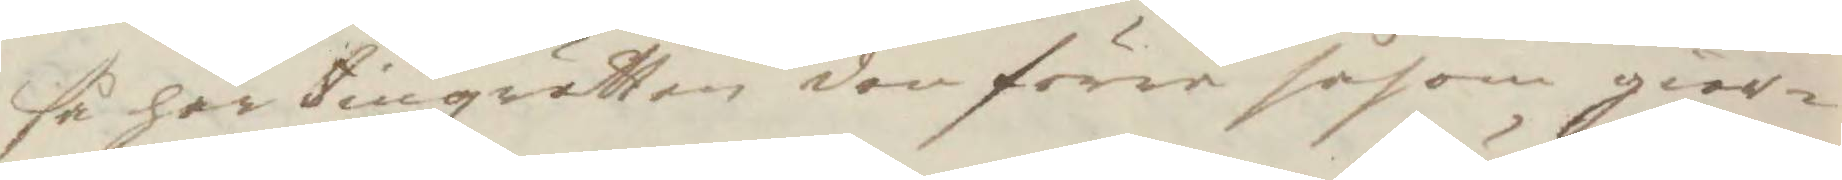så har tingzrätten den förre såsom giär¬
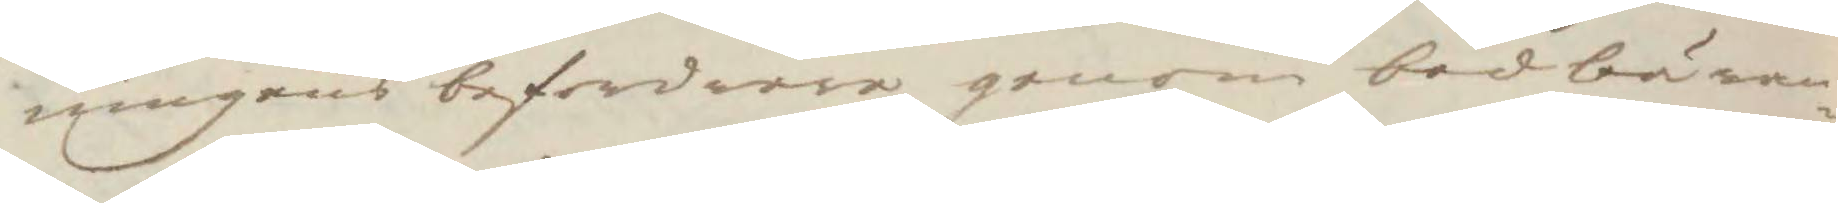ningens befordrare genom budbäran¬
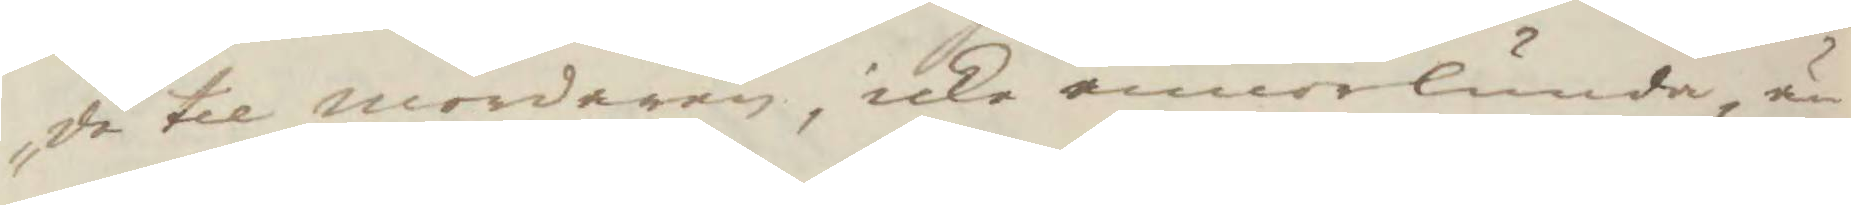de til morderen, icke annorlunda, än
